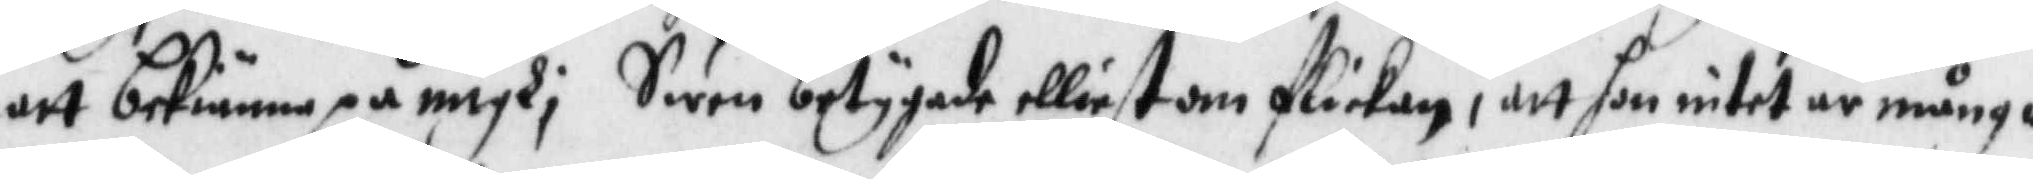att bekiänna på migh; Swen betygade elliest om flickan, att hon intet är mång¬
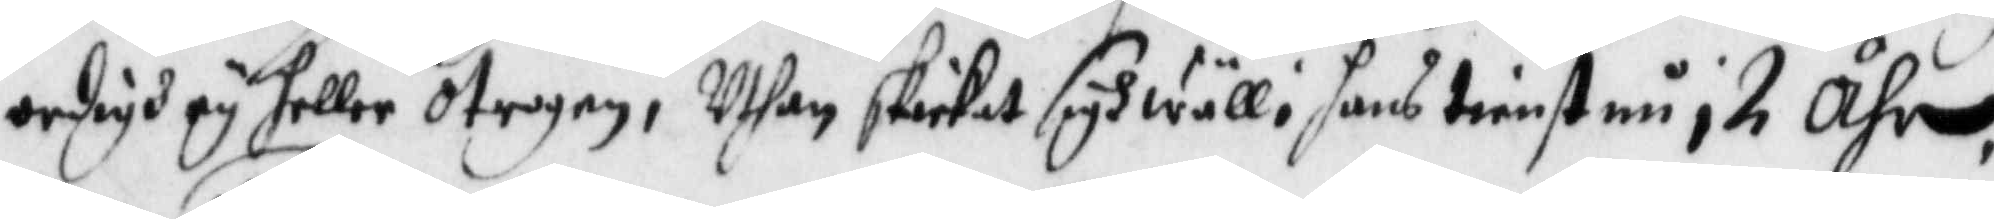ordigh ey heller otrogen, Uthan skickat sogh wäll i hans tienst nu i 2 åhr.
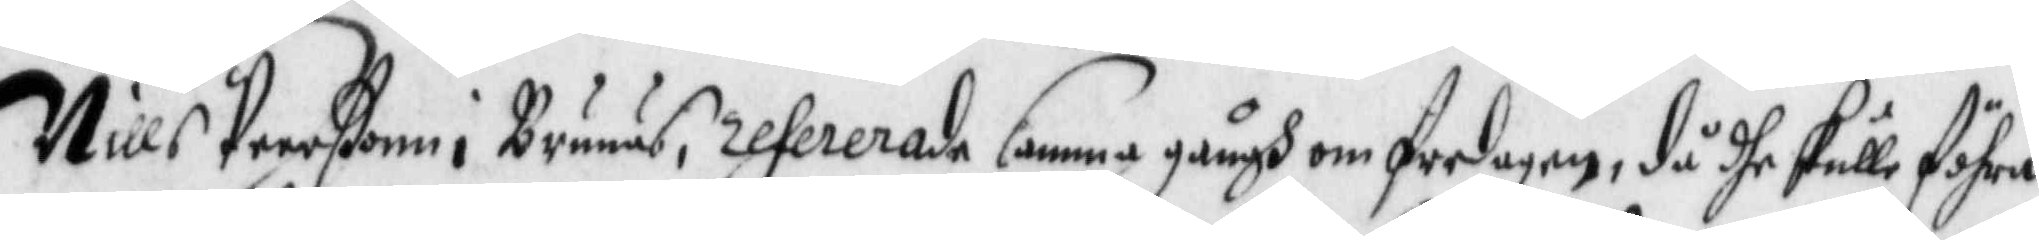Nills Peerßonn i Brunäs, refererade samma gångh om fredagen, då dhe skulle föhra
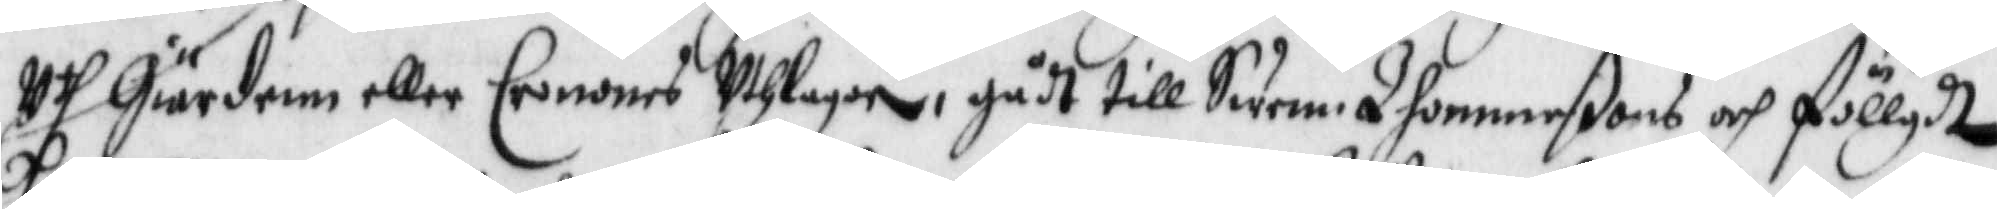Uth Giärdenn eller Cronones Uthlagor, gådt till Swen Thomeßons och föllgdt
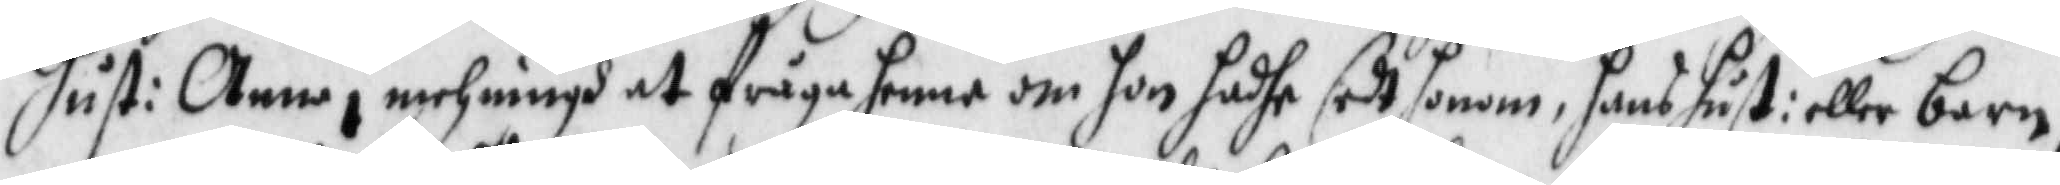hust: Anna i mehningh at fråga henne om hon hadhe sedt honom, hans hust: eller barn,
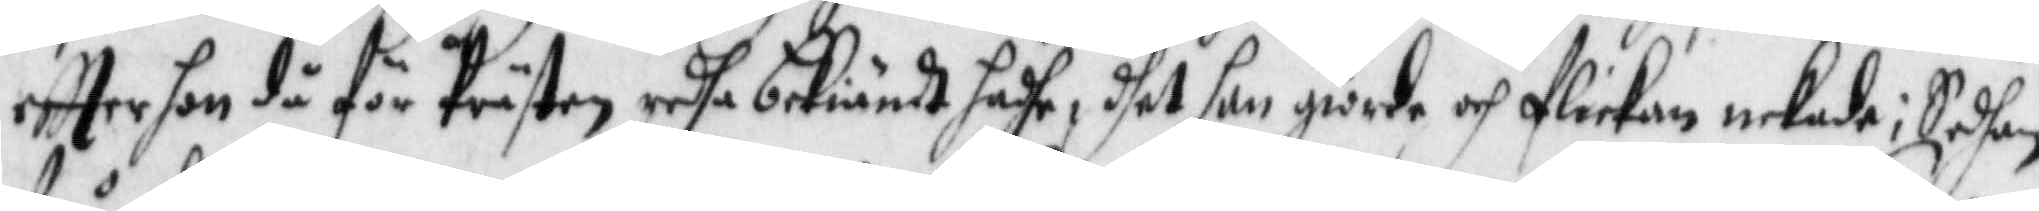eftter hon då för Prästen redha bekiändt hadhe, dhet hon giorde och flickan nekade; Sedhan
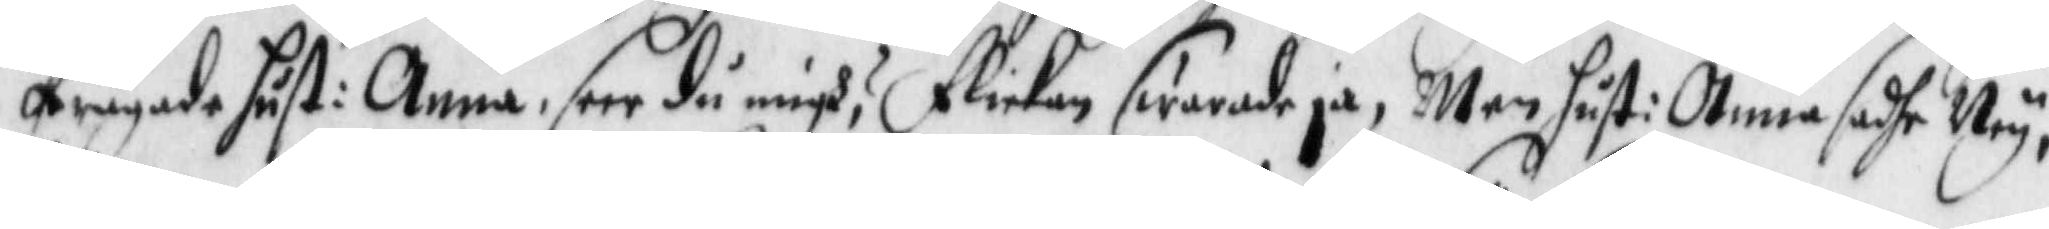frågade hust: Anna seer du migh? flickan swarade ja, Men hust: Anna sadhe Ney,
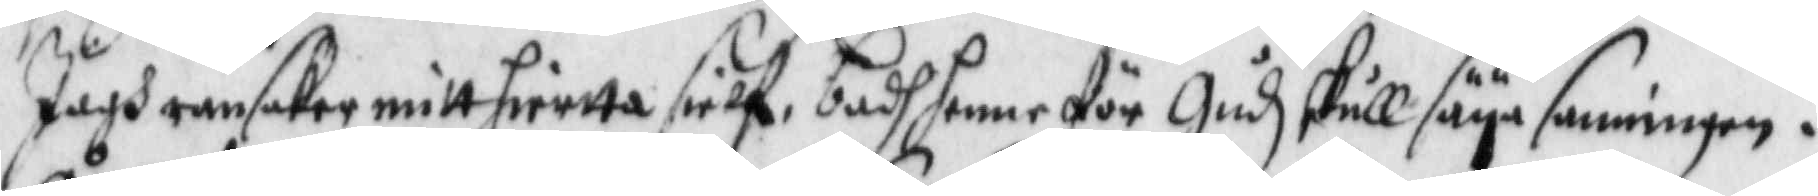Jagh ransaker mitt hiertta sielf, badh hennen för Gudz skull säya sanningen.
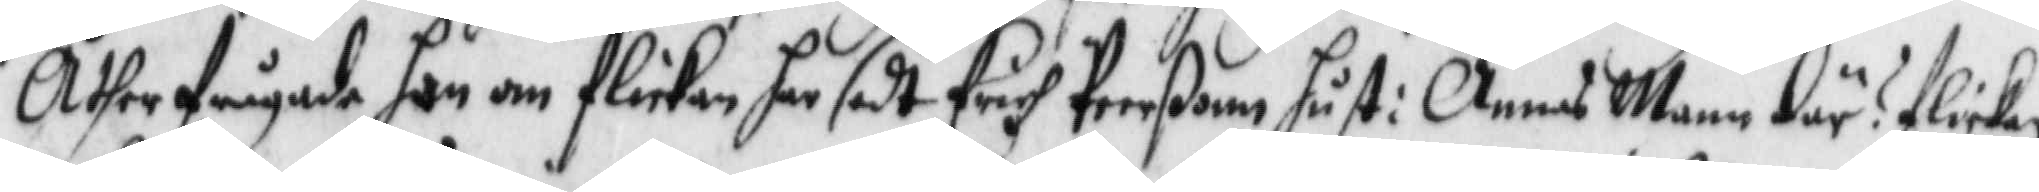Åther frågade han om flickan har sedt Erich Peerßonn hust: Annas Mann där? flickan
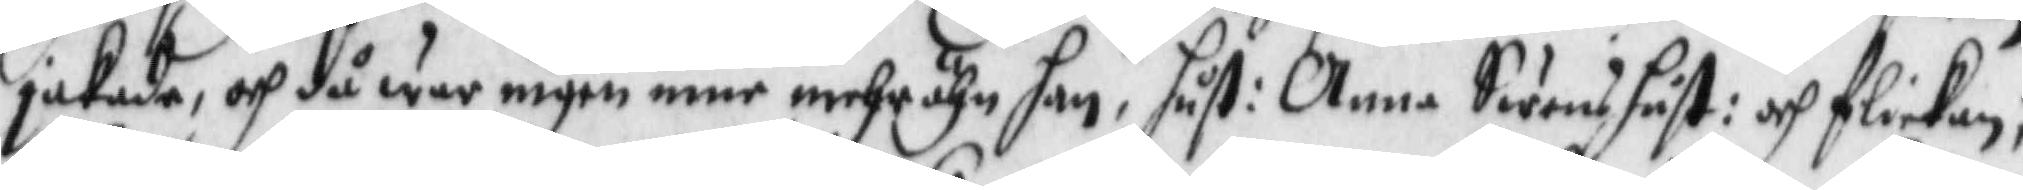jakade, och då war ingen inne mehr ähn han, hust: Anna Swens hust: och flickan;
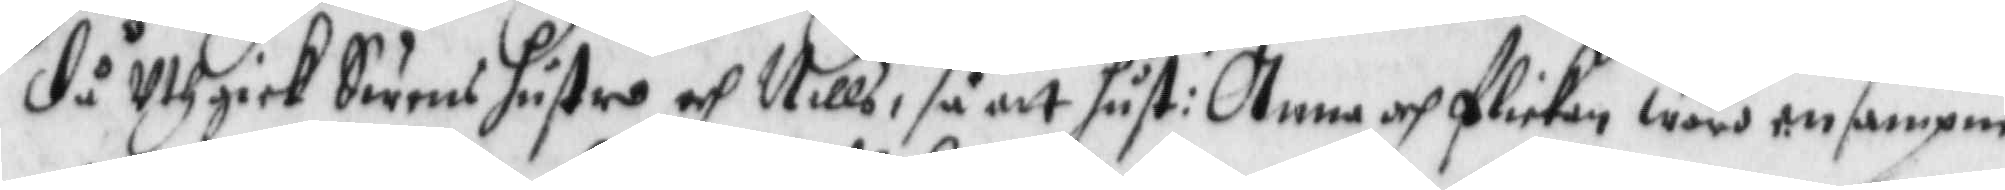då Uthgick Swens hustro och Nills, så att hust: Anna och flickan wore ensampna
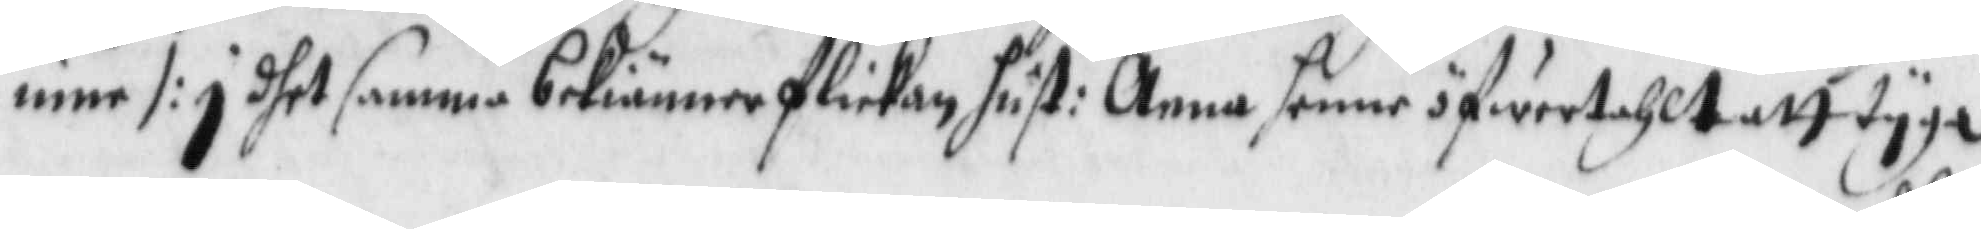inne /: i dhet samma bekiäner flickan hust: Anna henne öfwertahlt att tyga
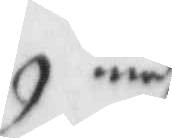medh
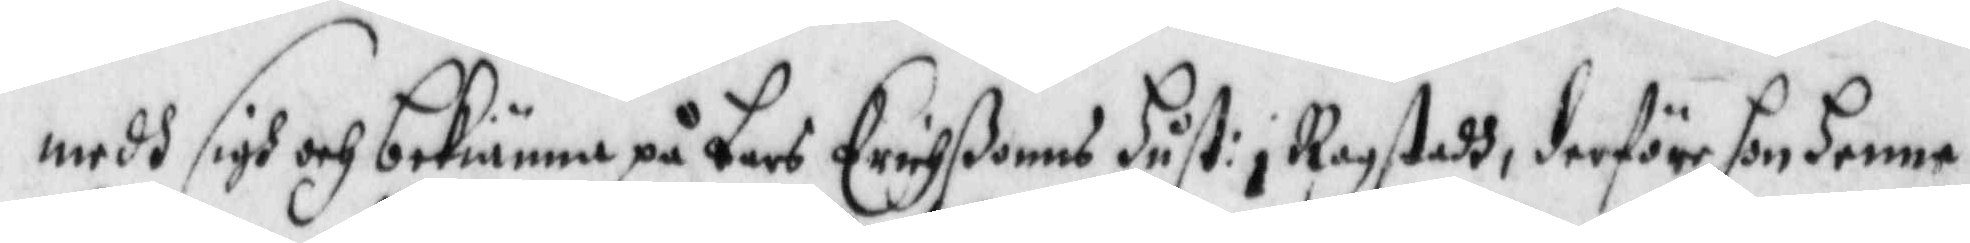medh sigh och bekiänner på Lars Erichßonns hust: i Ragstadh, derföre hon henne
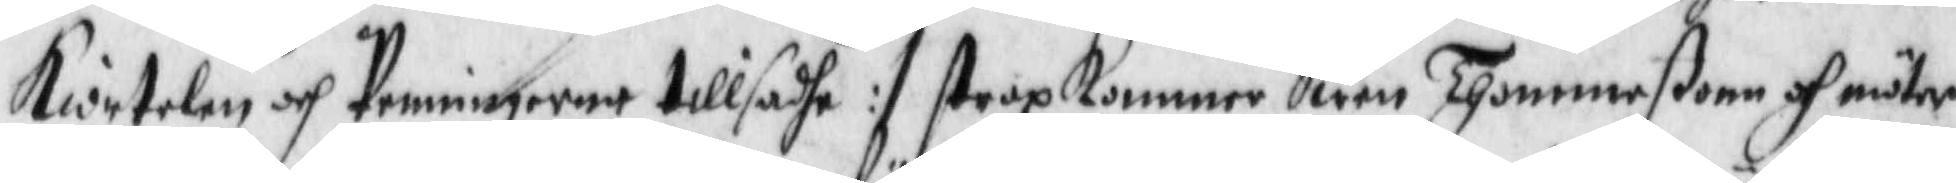Kiortelen och Penningarne tillsadhe :/ strax Kommer Swen Thommeßonn och möter
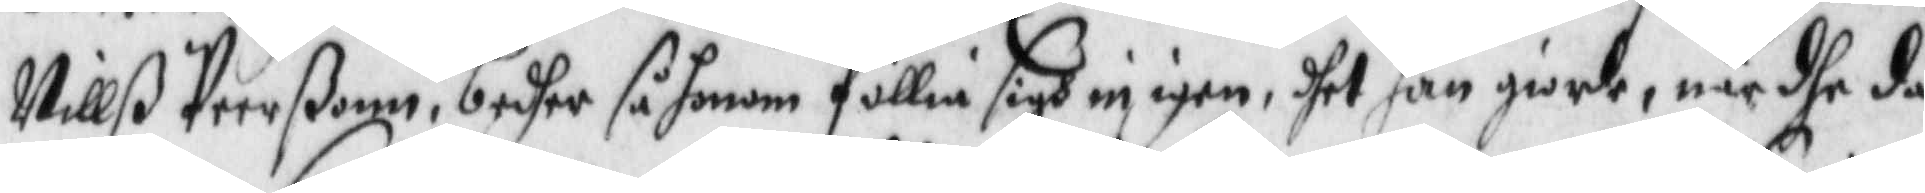Nillß Peerßonn, bedher så honom föllia sigh in igen, dhet han giorde, när dhe då
